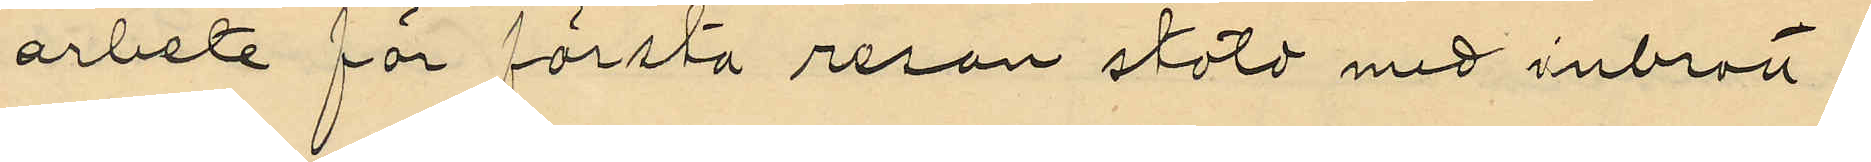arbete för första resan stöld med inbrott,
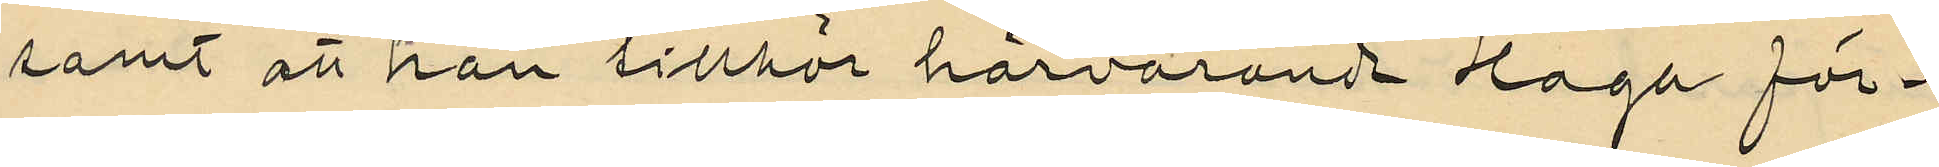samt att han tillhör härvarande Haga för¬
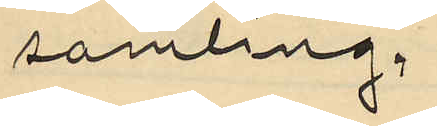samling.
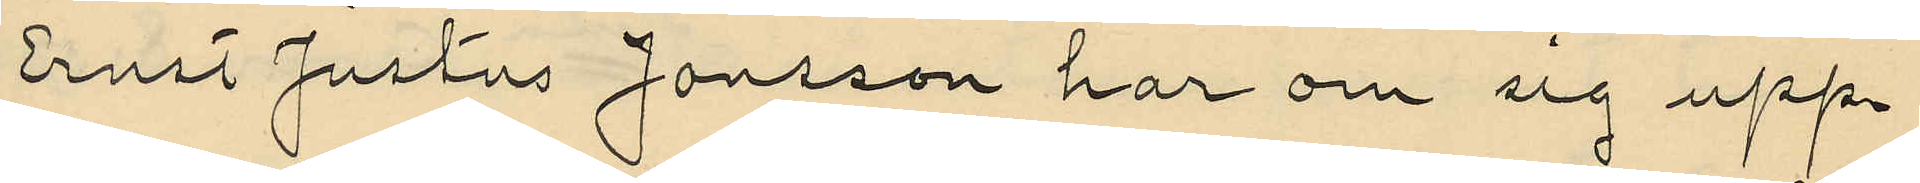Ernst Justus Jonsson har om sig upp¬
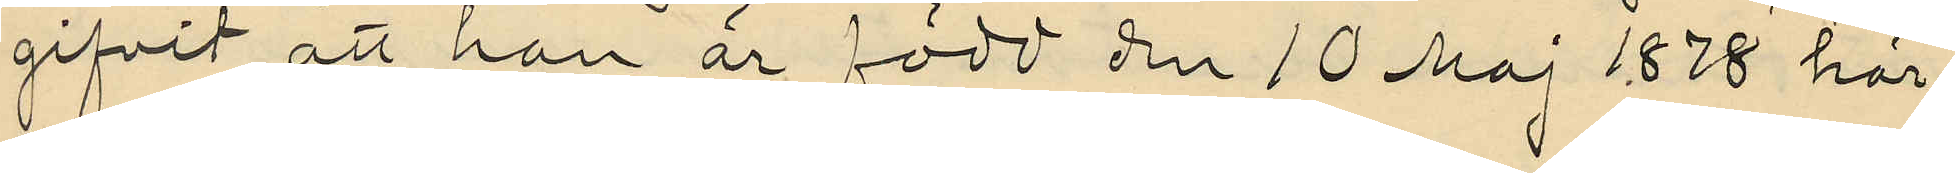gifvit att han är född den 10 Maj 1878 här
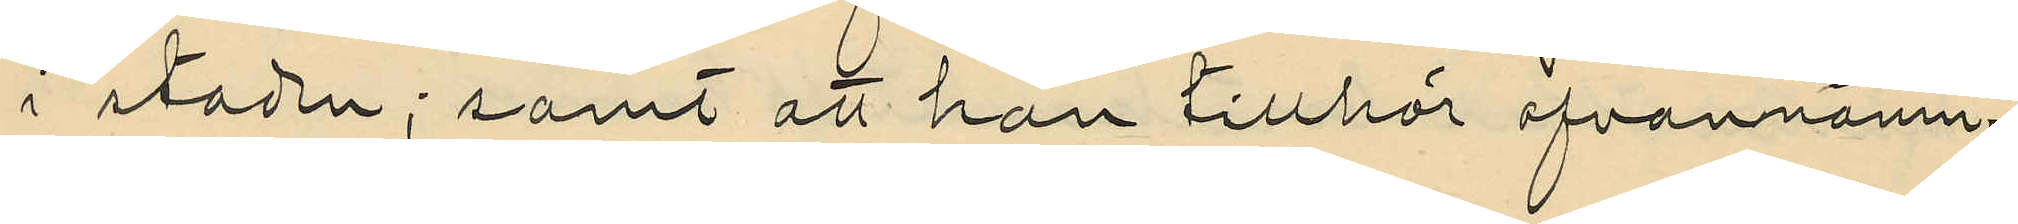i staden; samt att han tillhör ofvannämn¬
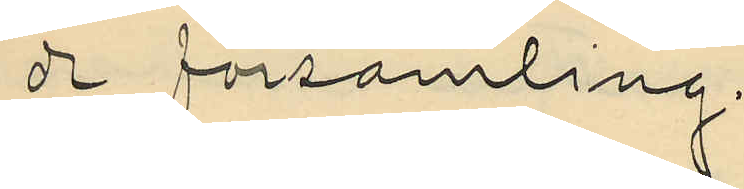de församling;
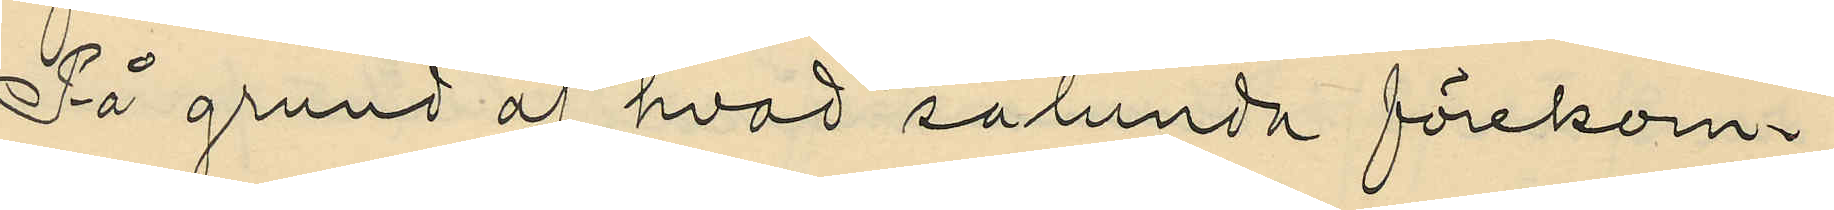På grund af hvad sålunda förekom¬
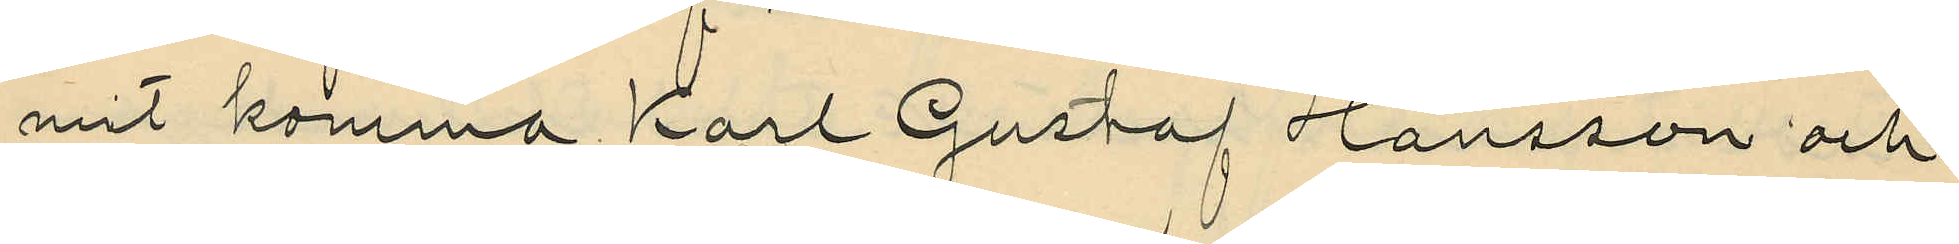mit komma Karl Gustaf Hansson och
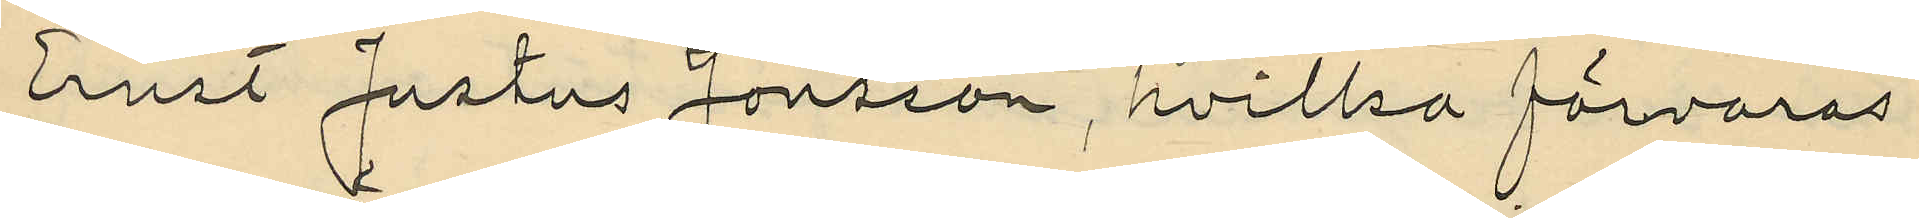Ernst Justus Jonsson, hvilka förvaras
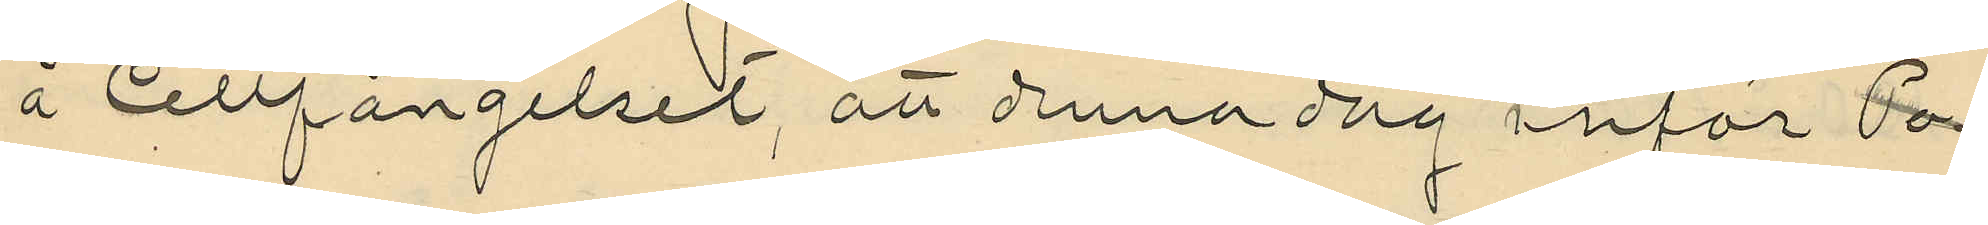å Cellfängelset, att denna dag inför Po¬
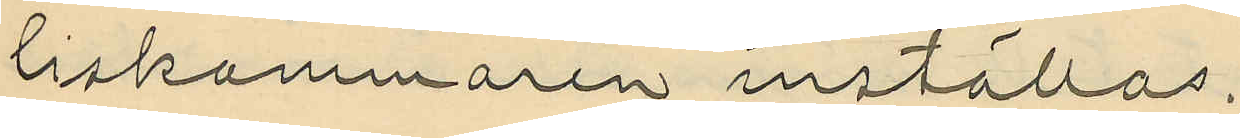liskammaren inställas.
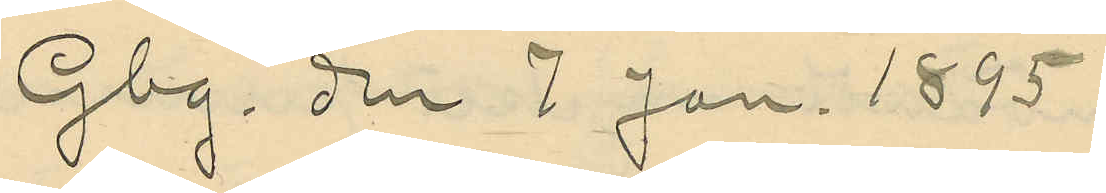Gbg. den 7 Jan. 1895.
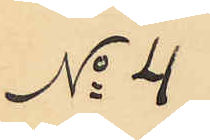No 4
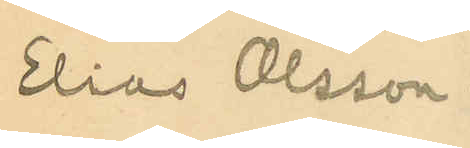Elias Olsson
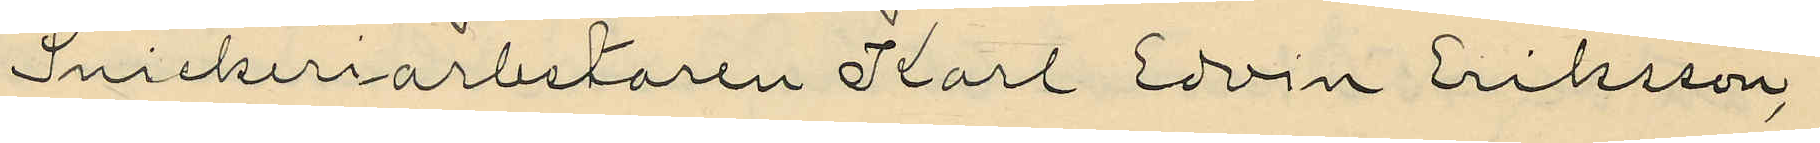Snickeriarbetaren Karl Edvin Eriksson,
